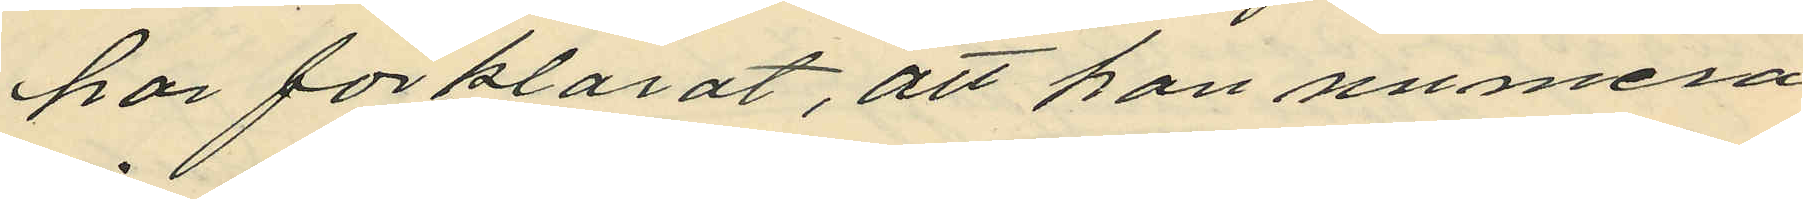har förklarat, att han numera
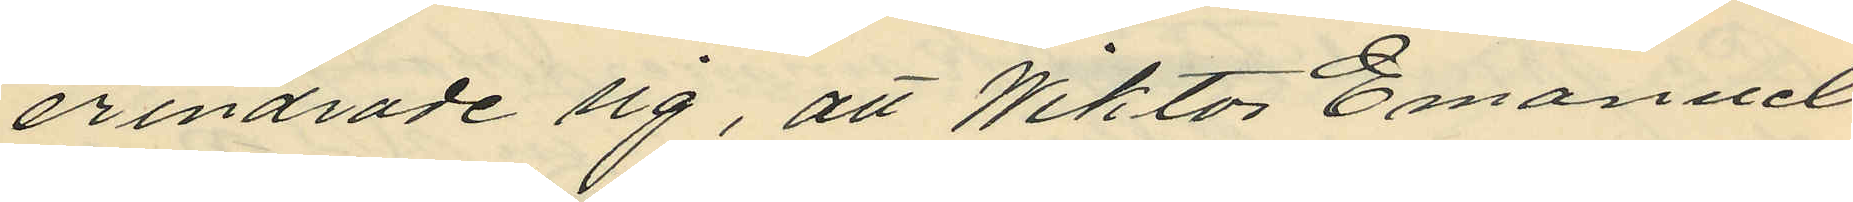erindrade sig, att Wiktor Emanuel
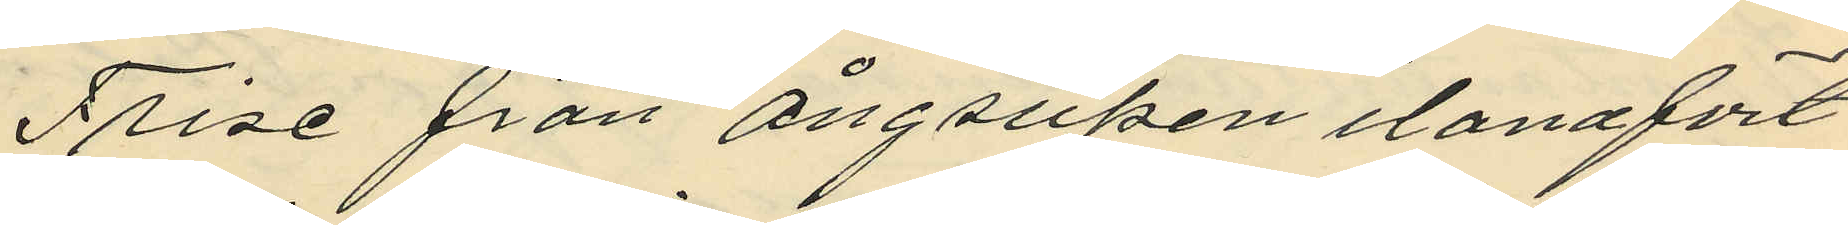Frise från ångsupen ilandfört
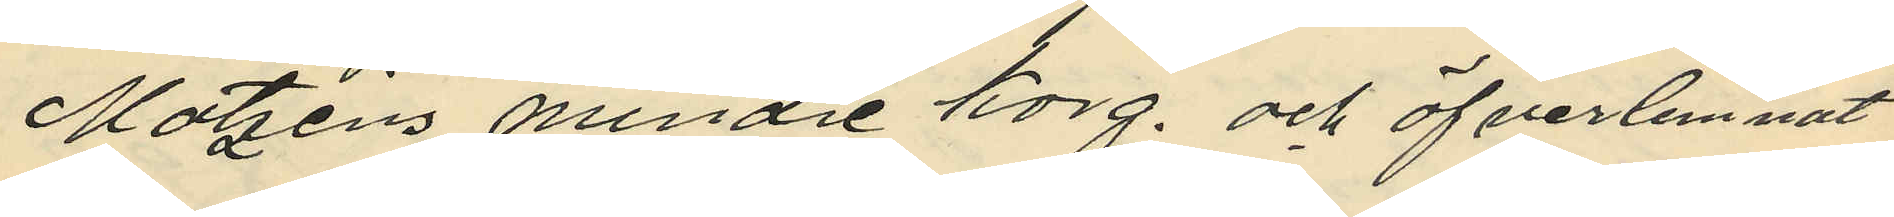Matzéns mindre korg, och öfverlemnat
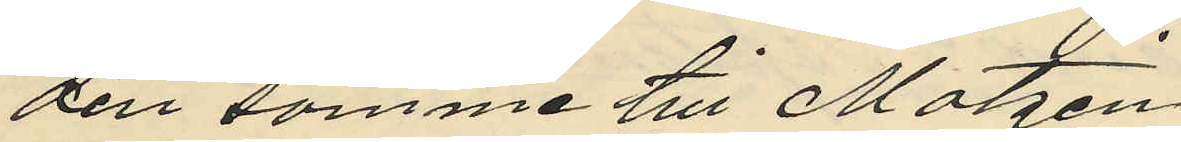den samme till Matzén
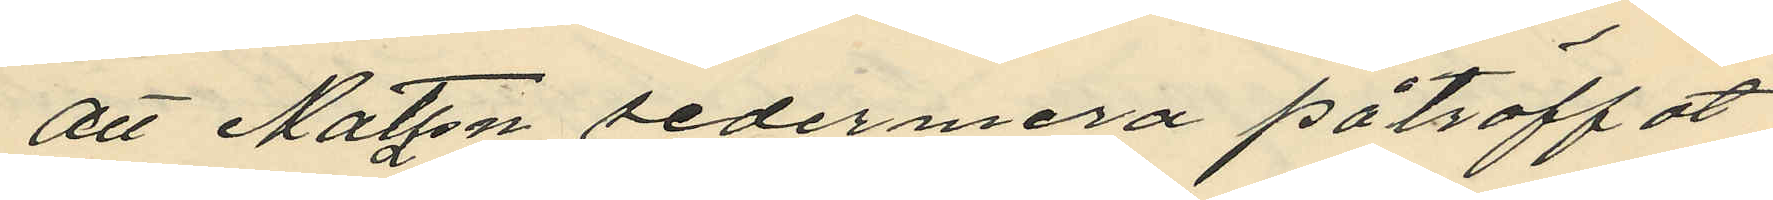att Matzen sedermera påträffat
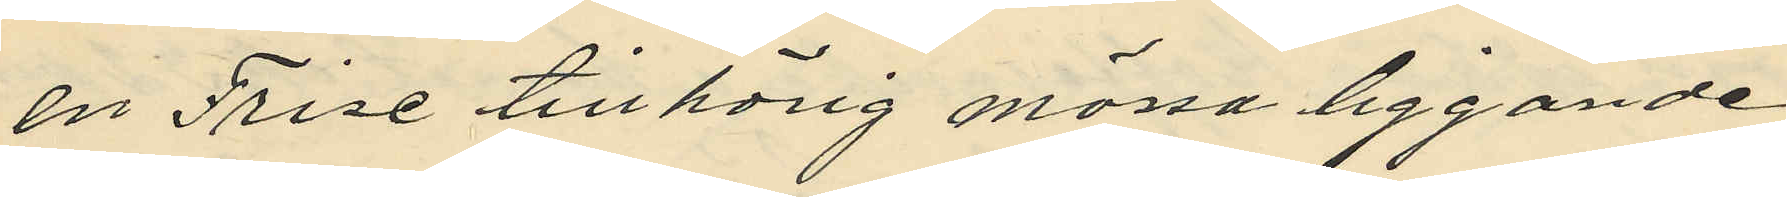en Frise tillhörig mössa liggande
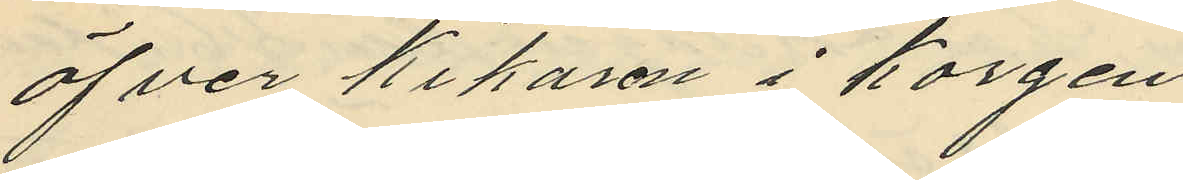öfver kikaren i korgen
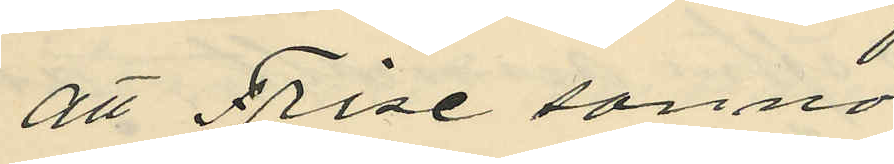att Frise sanno¬
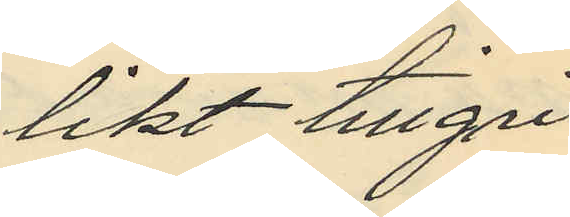likt tillgri
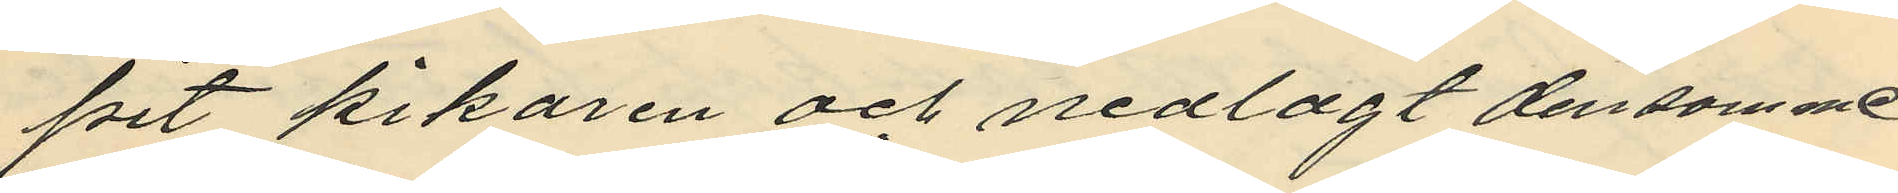pit kikaren och nedlagt densamme
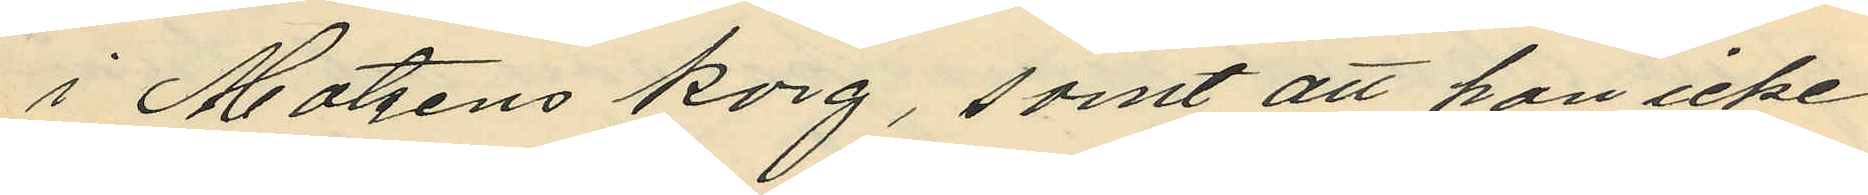i Matzens korg, samt att han icke
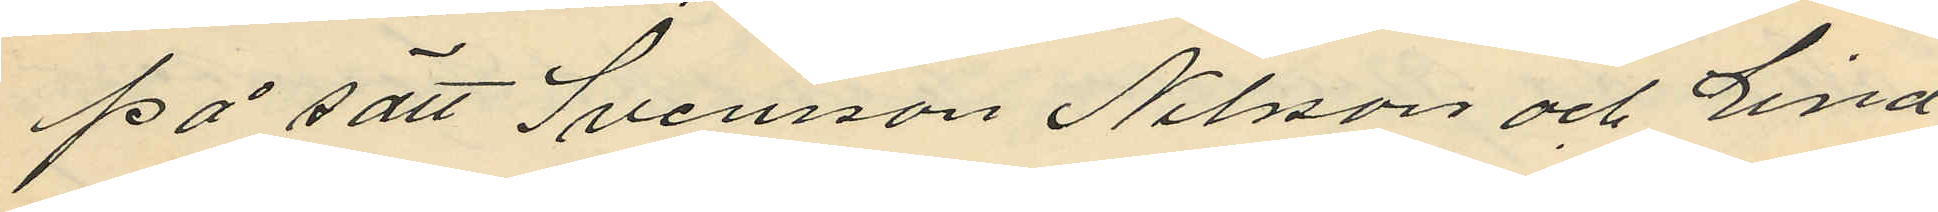på sätt Svensson Nilsson och Lind
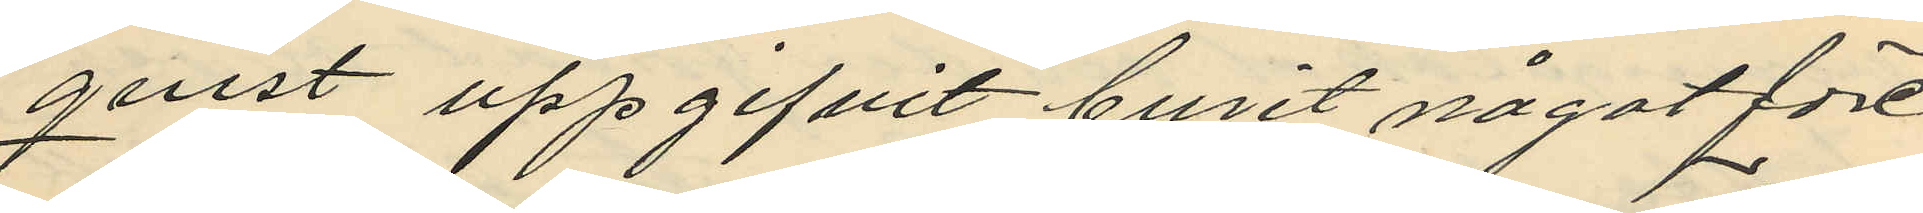qvist uppgifvit burit något före
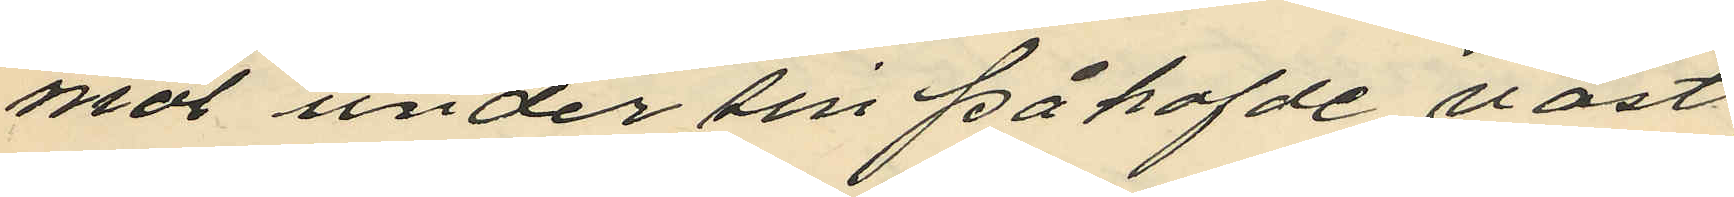mål under sin påhafde väst,
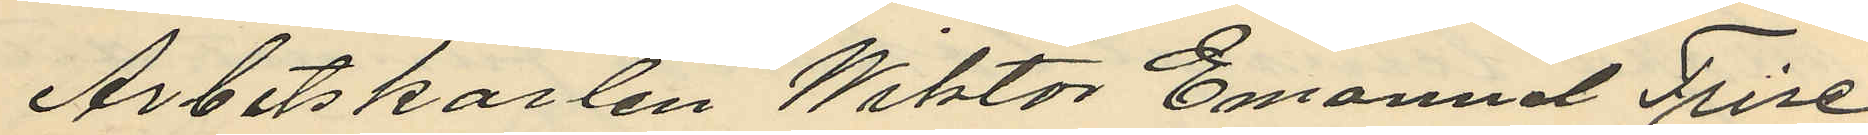Arbetskarlen Wiktor Emanuel Frise
